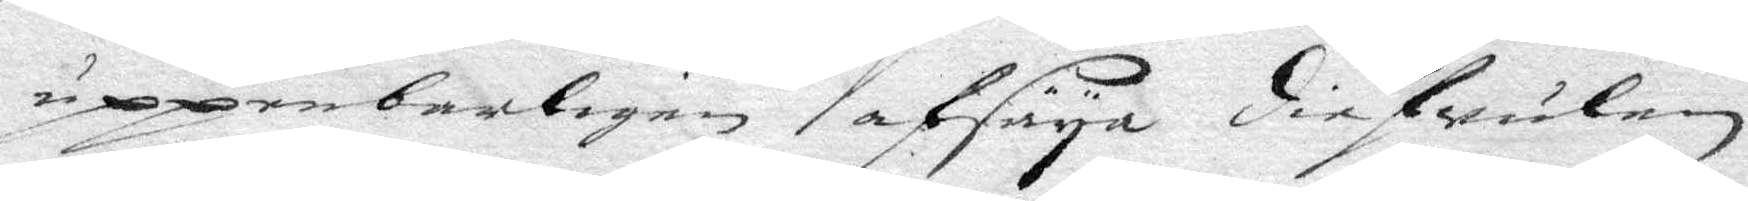uppenbarligen afsäya diefwulen,
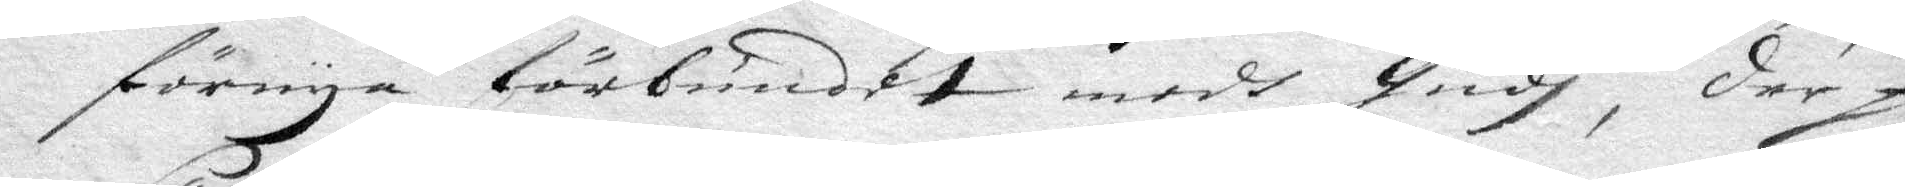förnya förbundet medh Gudh, der på
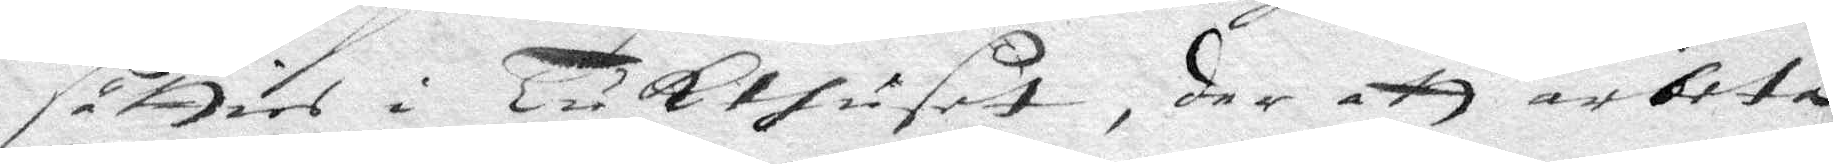sätties i Tukthuset, der att arbeta
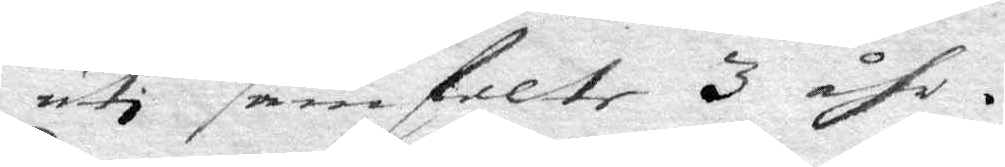uti samfelte 3 åhr.
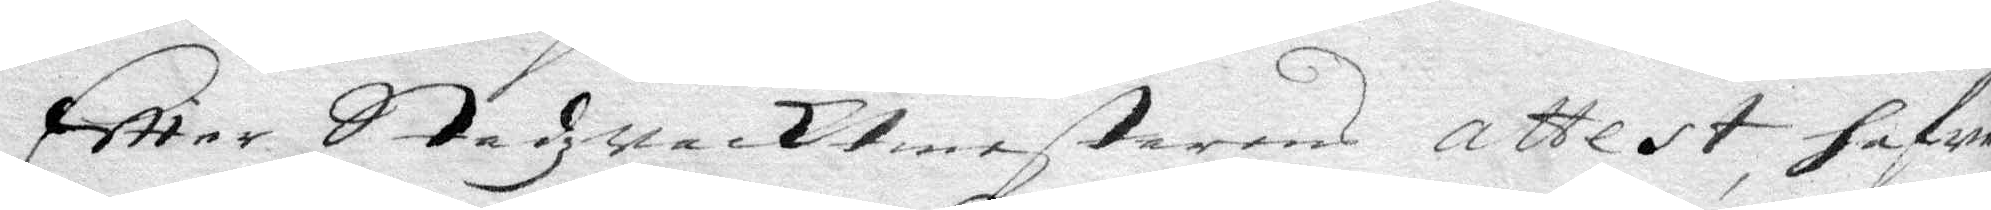Effter Stadzwacktmestarens attest hafwer
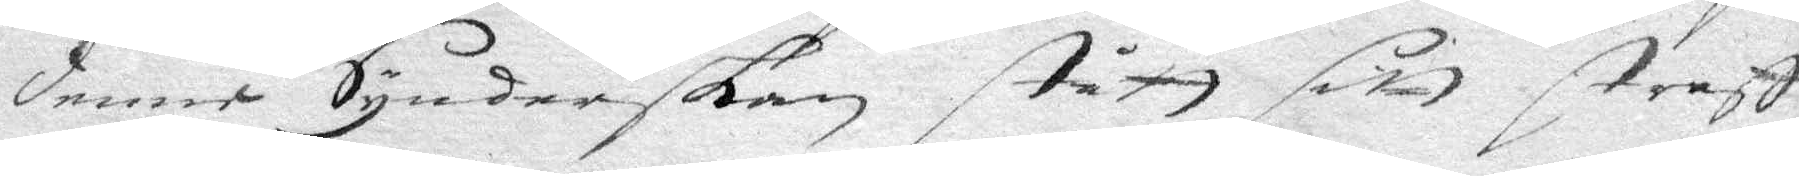denne Synderskan stått sitt straff,
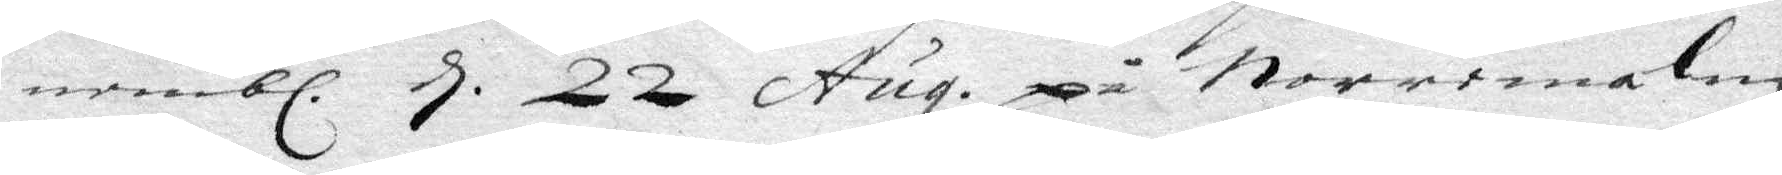nembl. d. 22 Aug. på Norremalm,
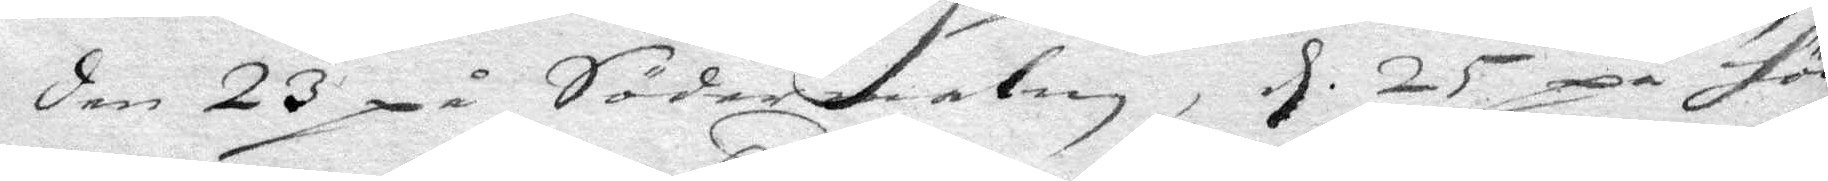den 23 på Södermalm, d 25 på Höö¬
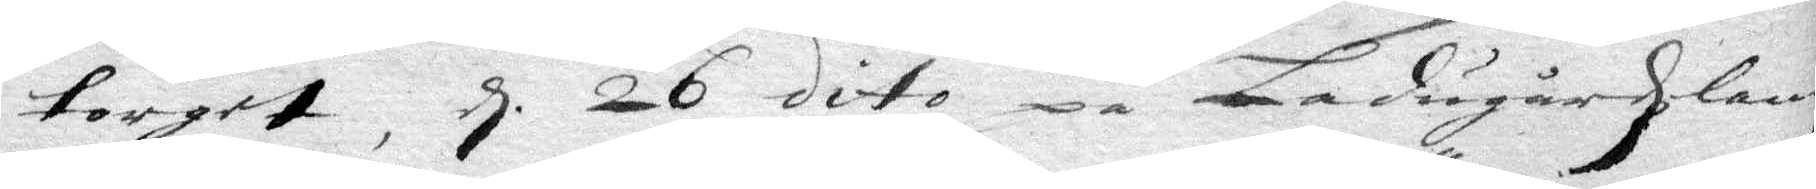torget, d 26 dito på Ladugårdzlandz¬
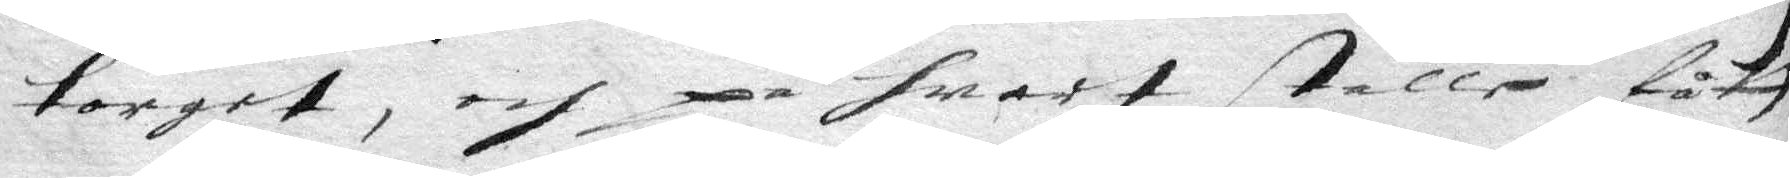toget, och på hwart ställe fått
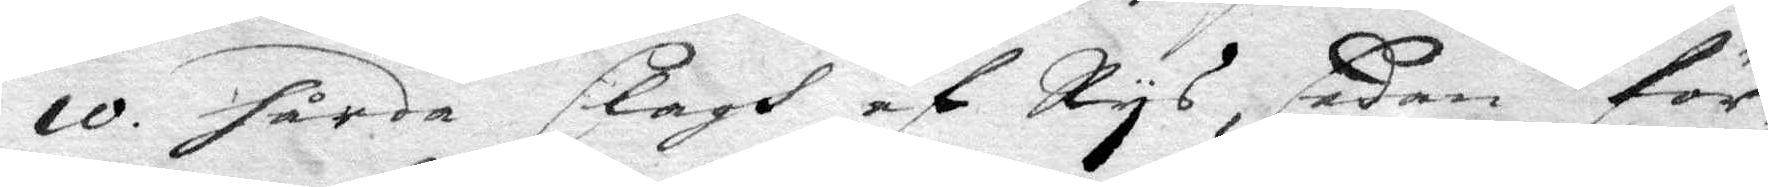10 hårda slagh av Rys, sedan för¬
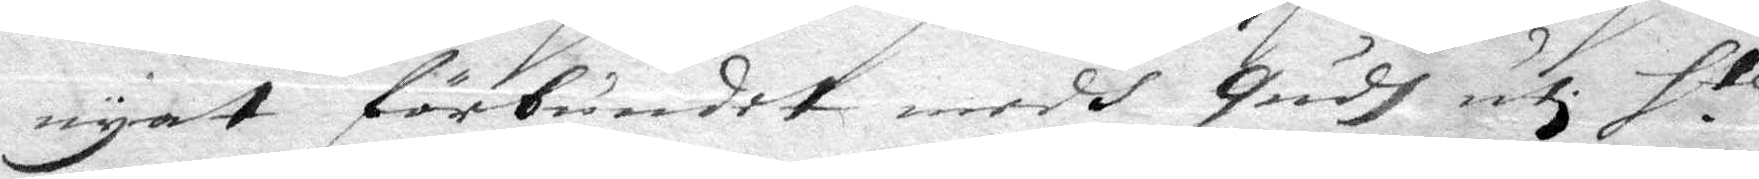nyat förbundet medh Gudh uti S te
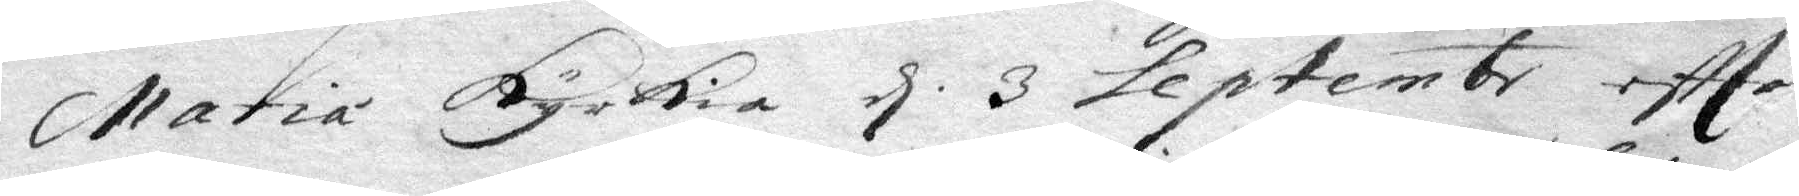Maria Kyrkia d 3 septembr effter
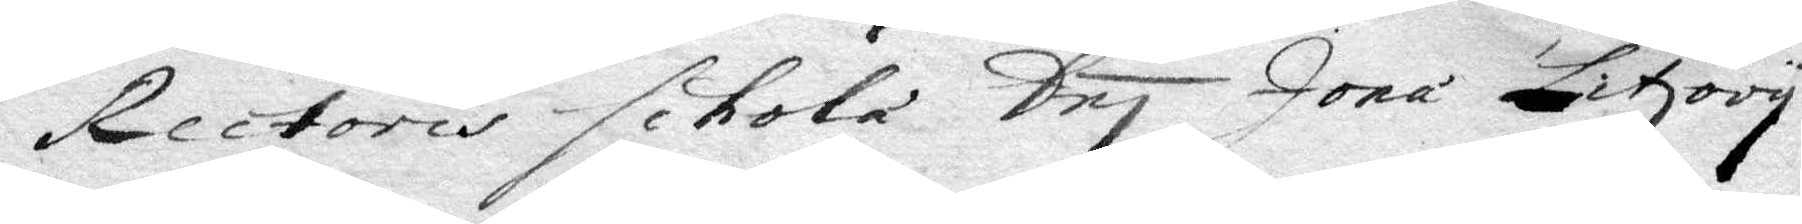Rectoris schola Dnj Jona Litzory
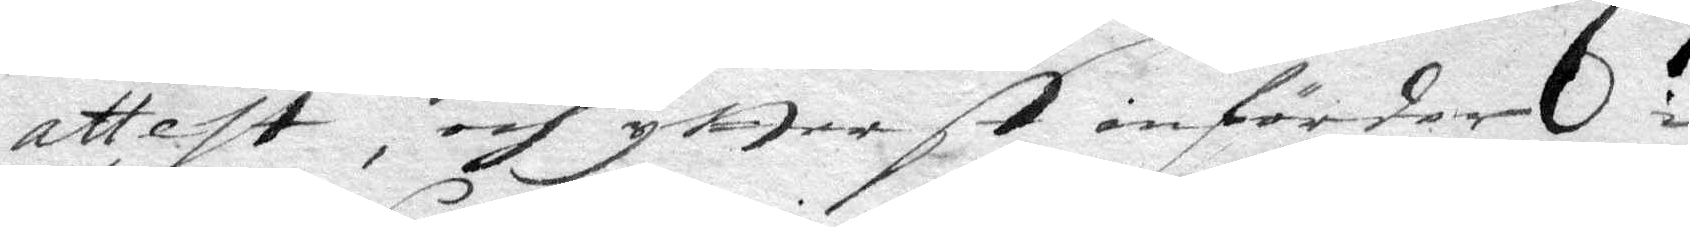attest, och ytterst införder i 
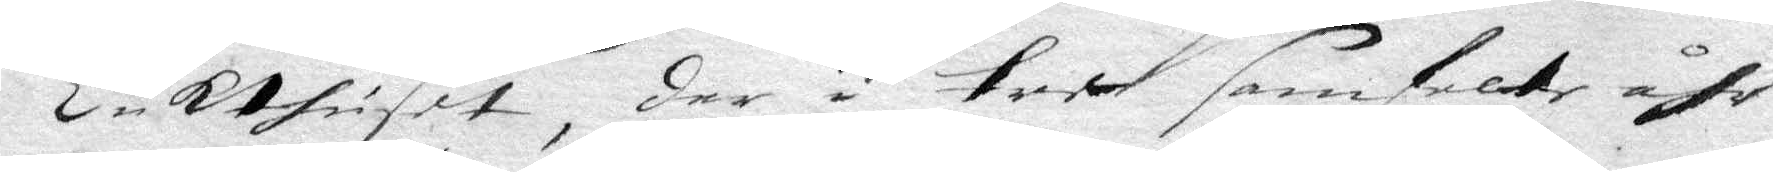Tukthuset, der i tree samfete åhr
